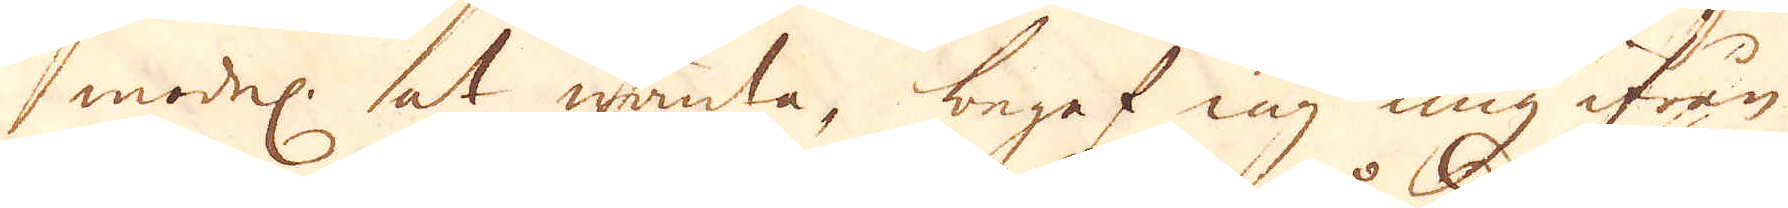model: at wända, begaf iag mig ifrån
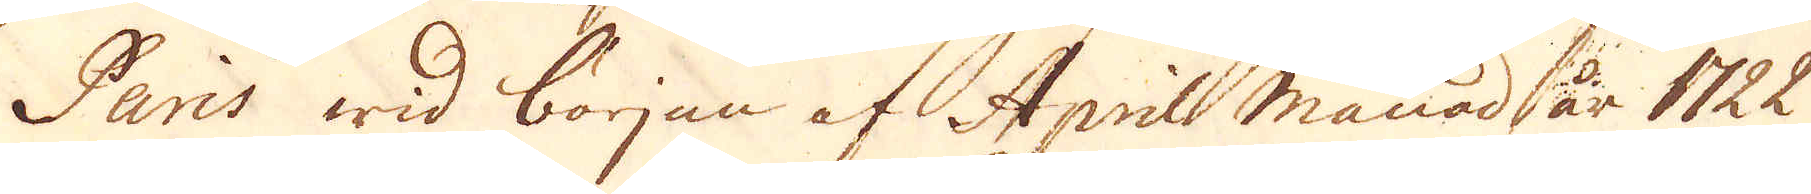Paris wid början af Aprils månad år 1722
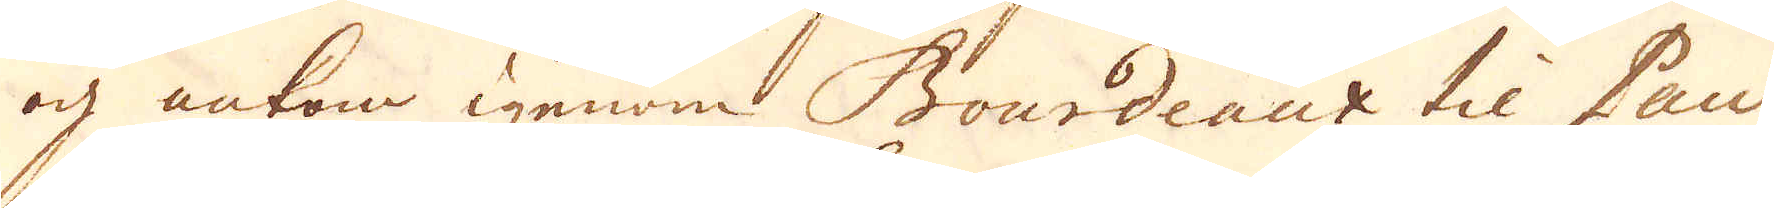och ankon igenom Bourdeaux til Pau
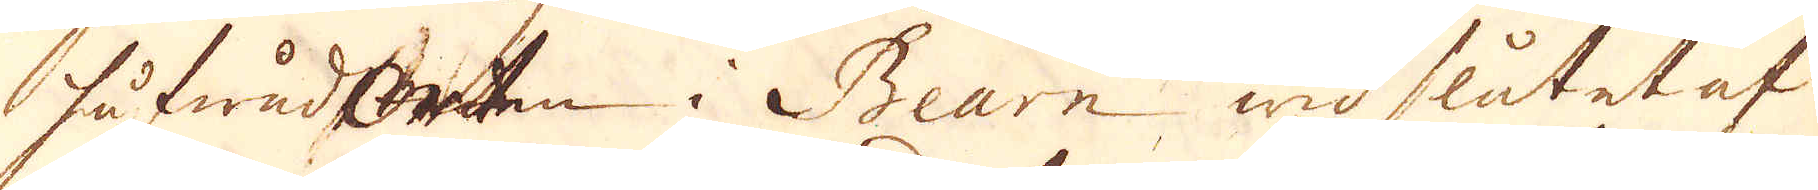hufwudOrten i Bearn wid slutet af
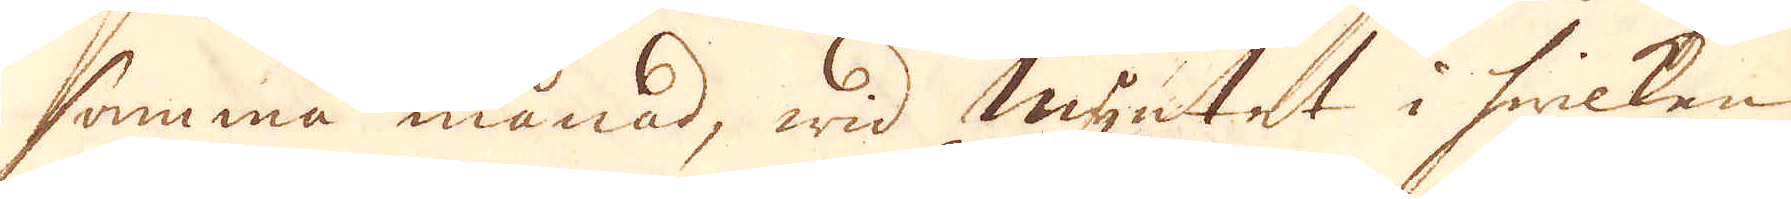samma månad, wid myntet i hwilken
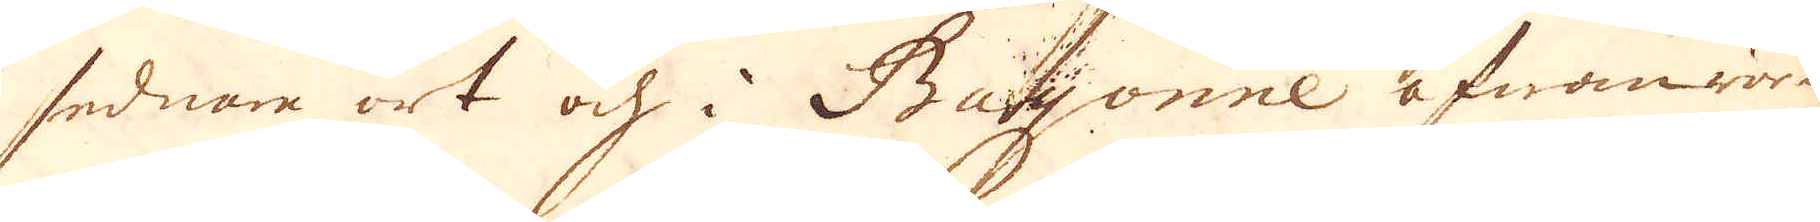sednare ort och i Bayonne ofwanrör-
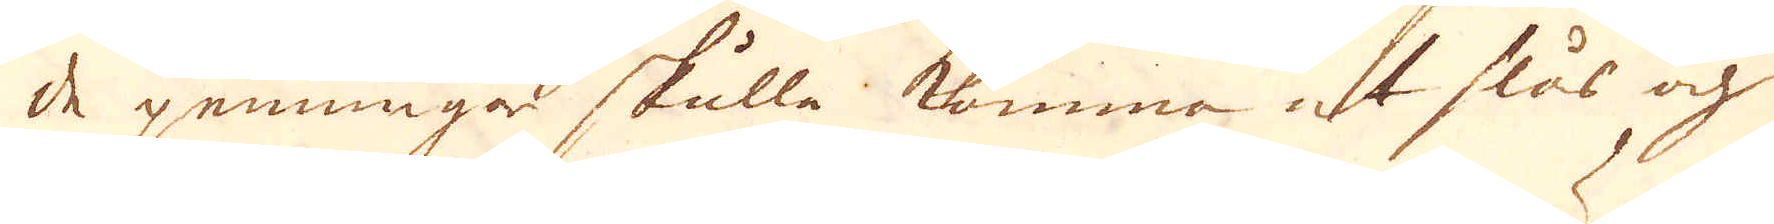de penningar skulle komma at slås och
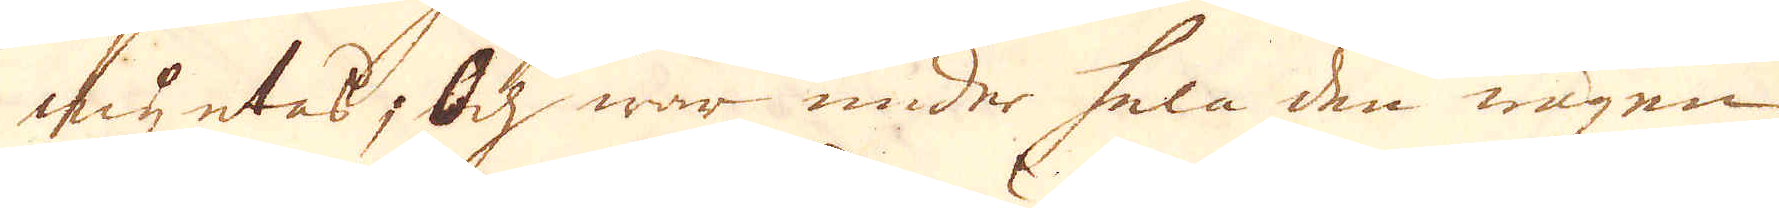myntas; Och war under hela den wägen
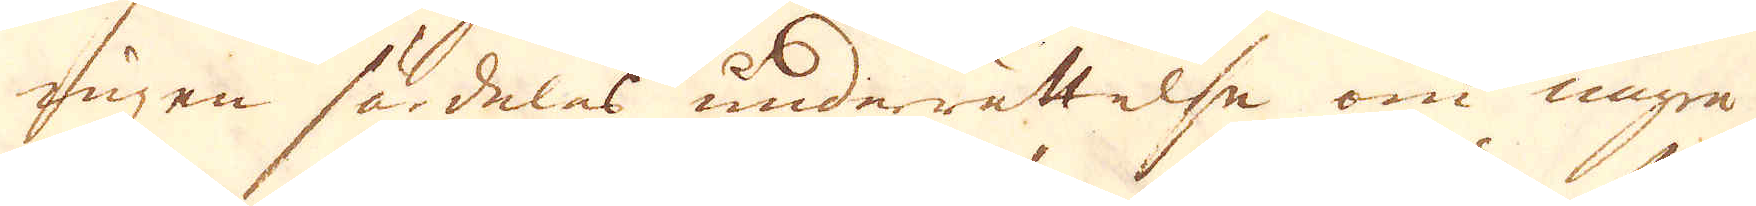ingen särdeles underrättelse om några
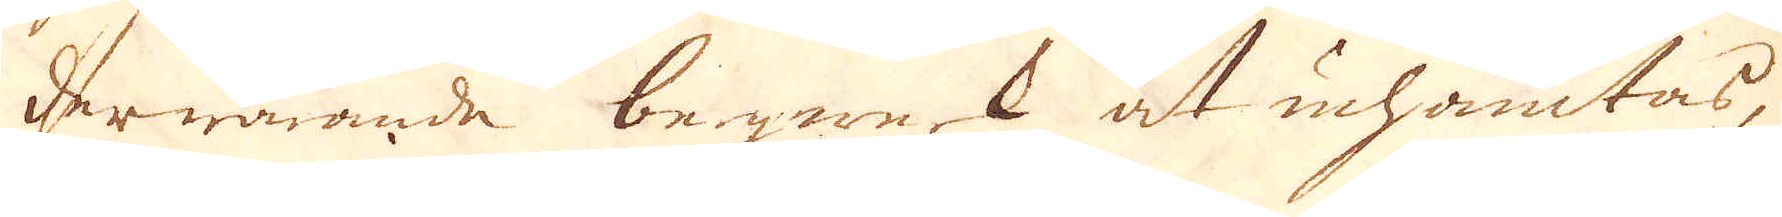derwarande begwerk at inhämtas,
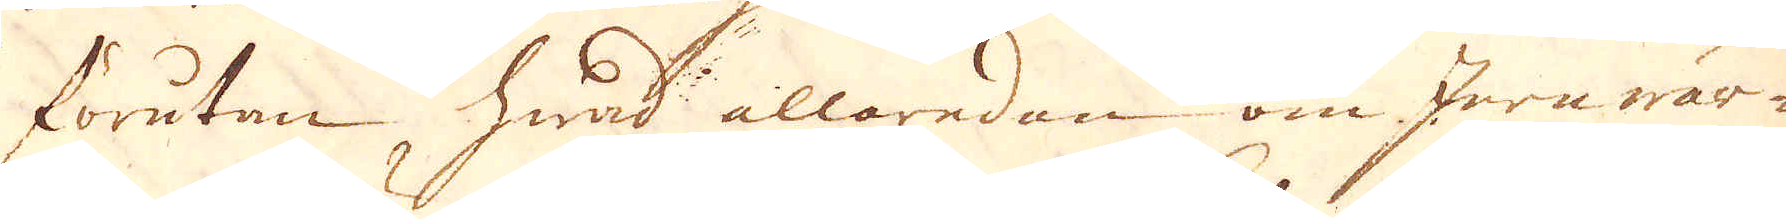förutan, hwad allaredan om Jernwär-
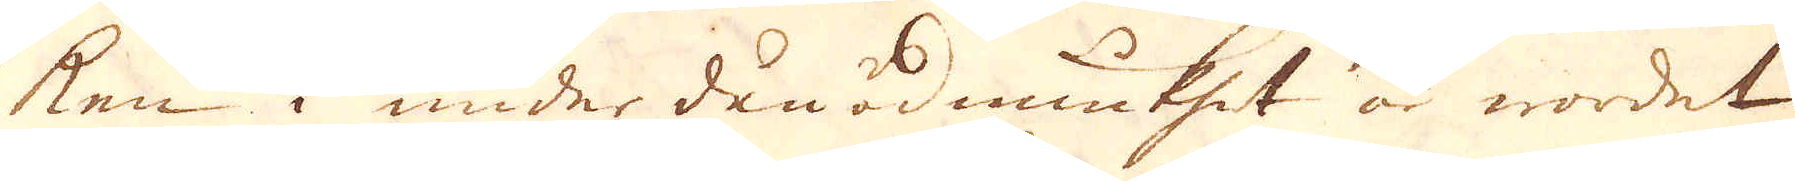ken i under dån ödmiukhet är wordet
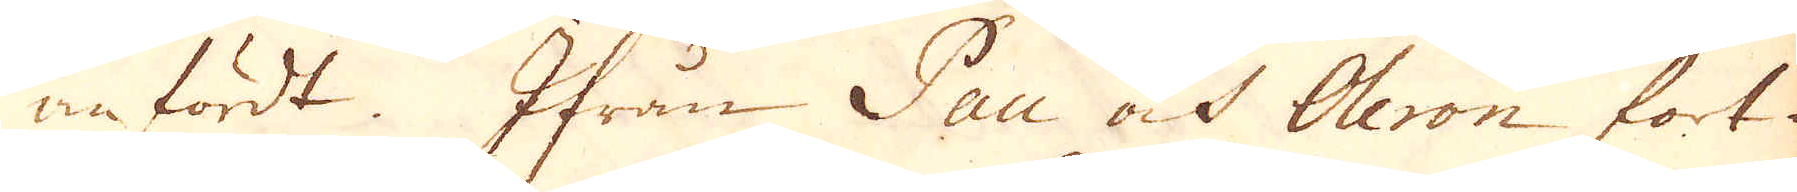anfördt. Ifrån Pau och Oleron fort-
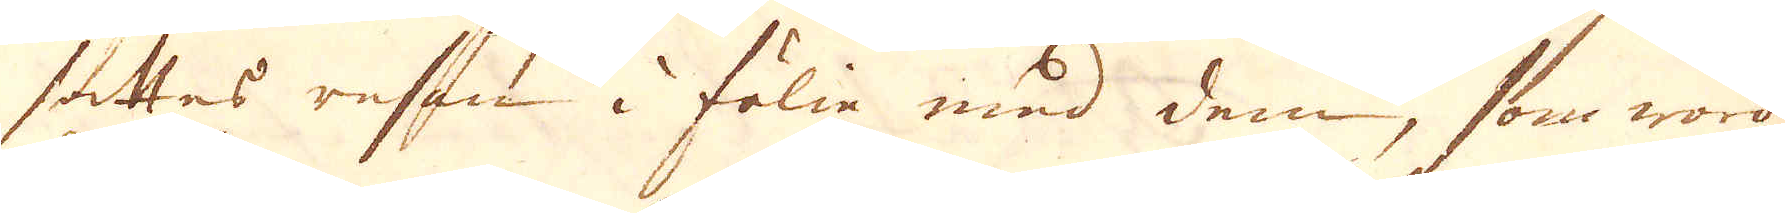sättes resan i fölie med dem, som woro
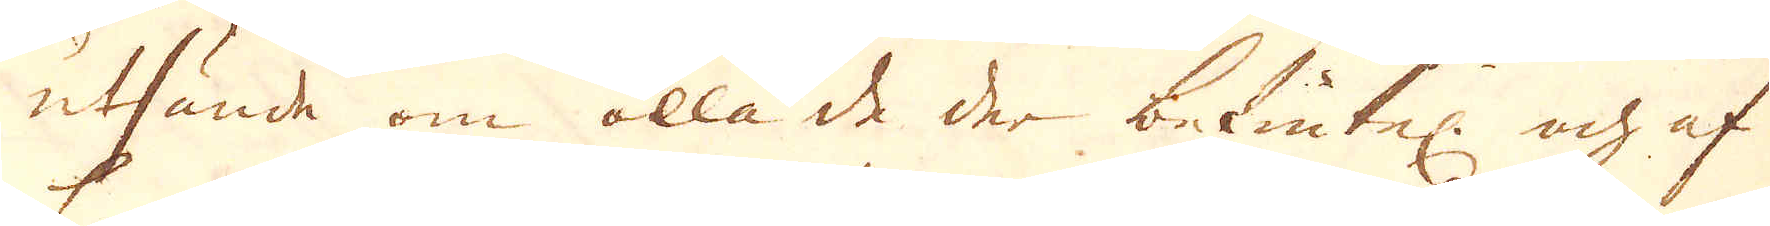utsände om alla de der betintel: och af
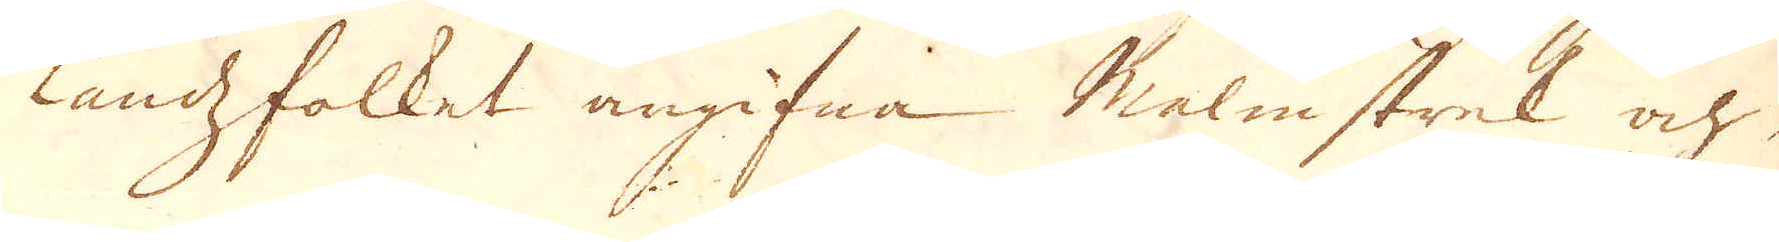landzfolket angifna Malmstrek och
